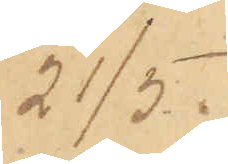21/5.
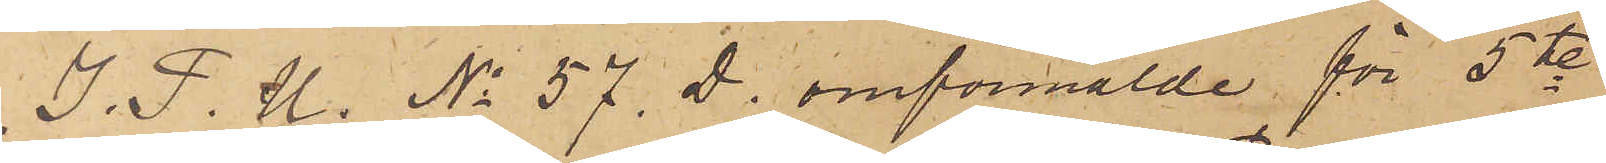I. P. U. No 57. D. omförmälde för 5te
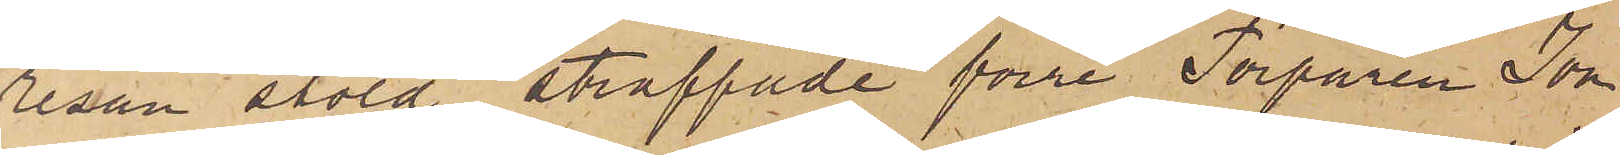resan stöld straffade förre Torparen Jon
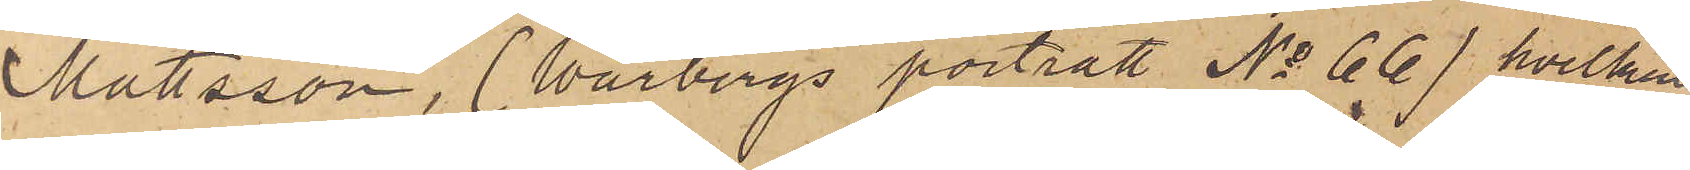Mattsson, (Warbergs porträtt No 66), hvilken
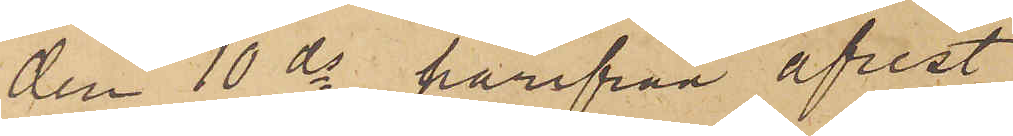den 10 ds härifrån afrest
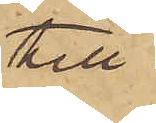till
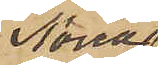Norra
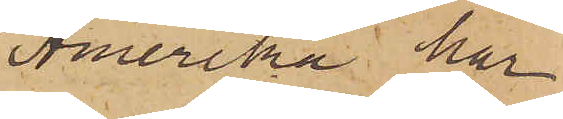Amerika, har
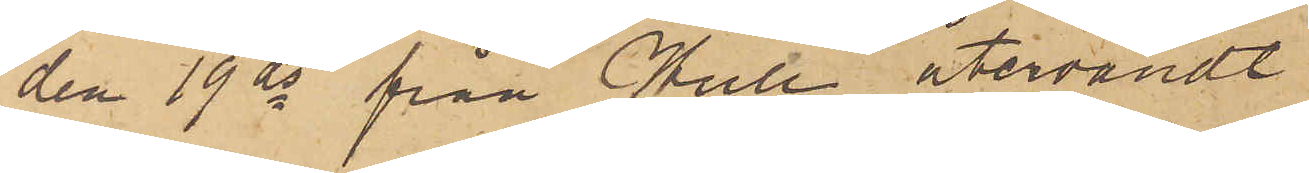den 19 ds från Hull återvändt
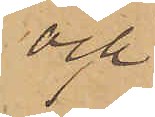och
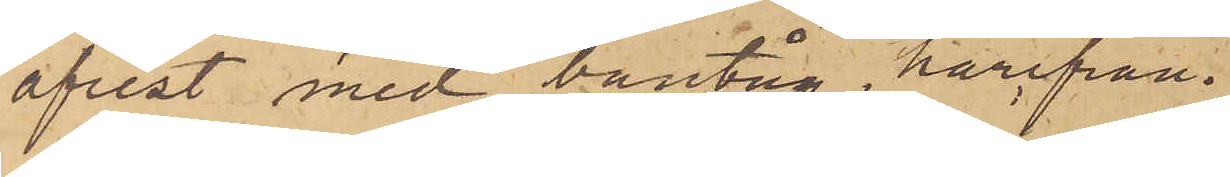afrest med bantåg härifrån.
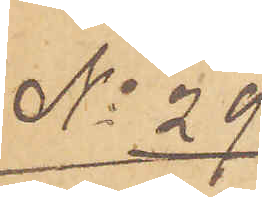No 29
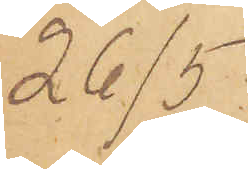26/5.
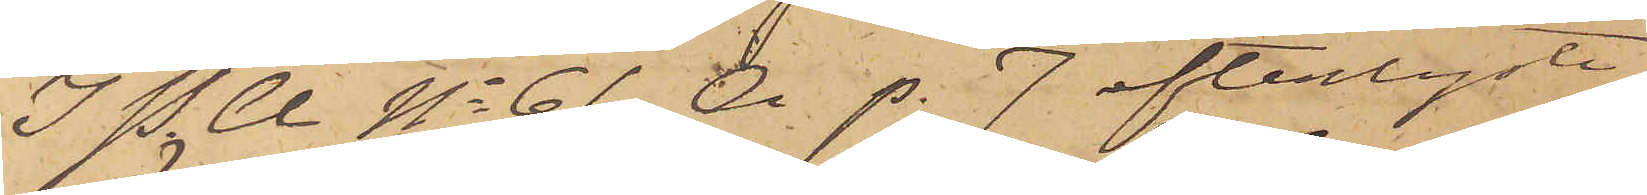I P. U No 61 A p. 7 efterlyste
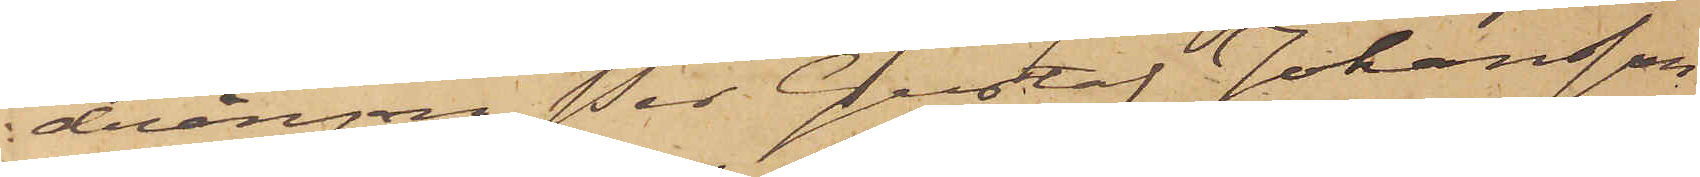drängen Per Gustaf Johansson
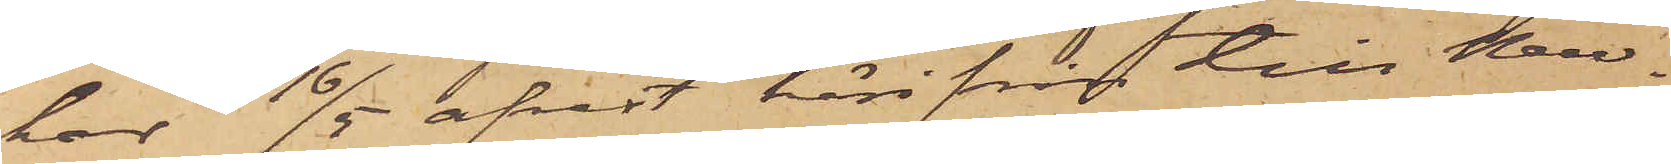har 16/5 afrest härifrån till New¬
